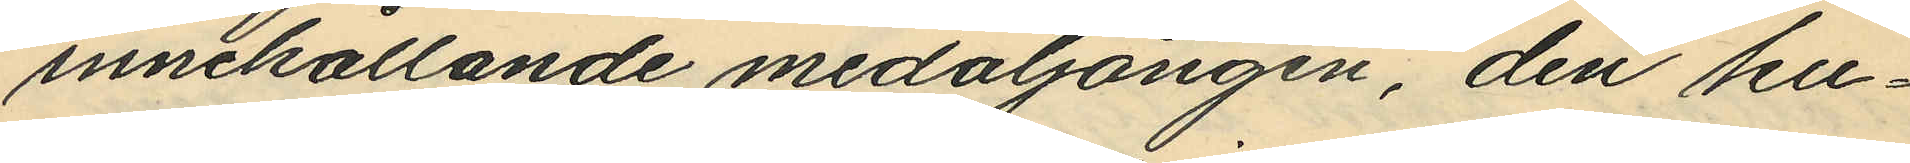innehållande medaljongen, den ku¬
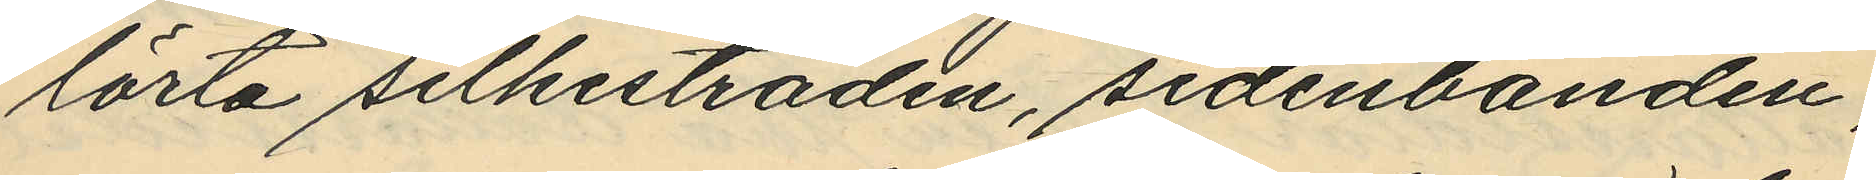lörta silkestråden, sidenbanden,
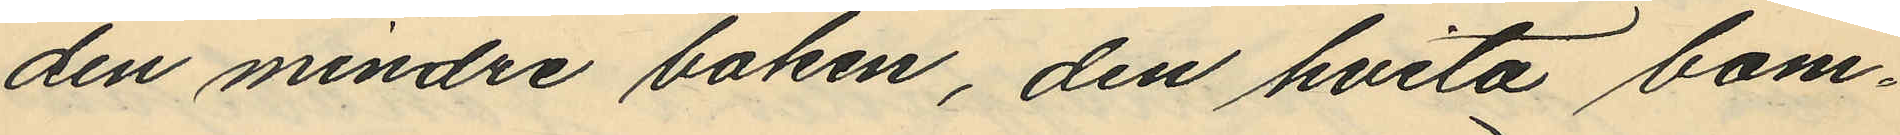den mindre boken, den hvita bom¬
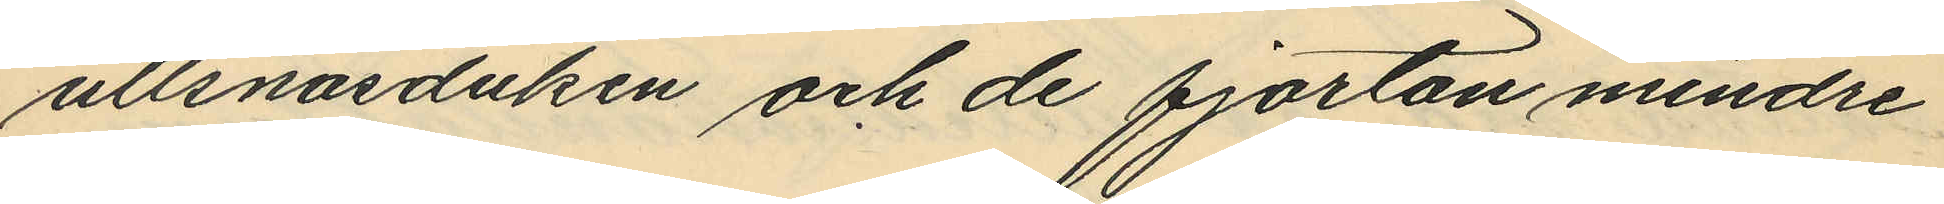ullsnäsduken och de fjorton mindre
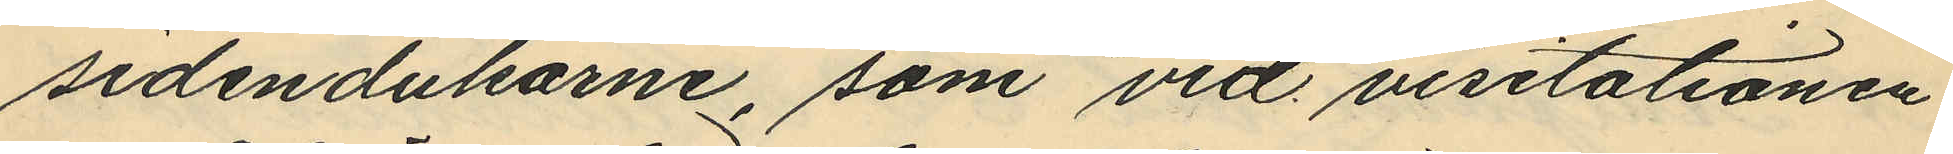sidendukarne, som vid visitationen
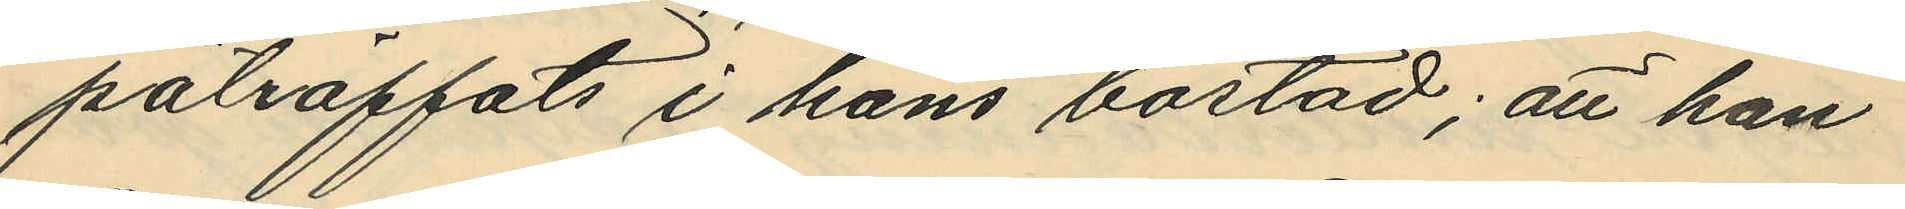påträffats i hans bostad; att han
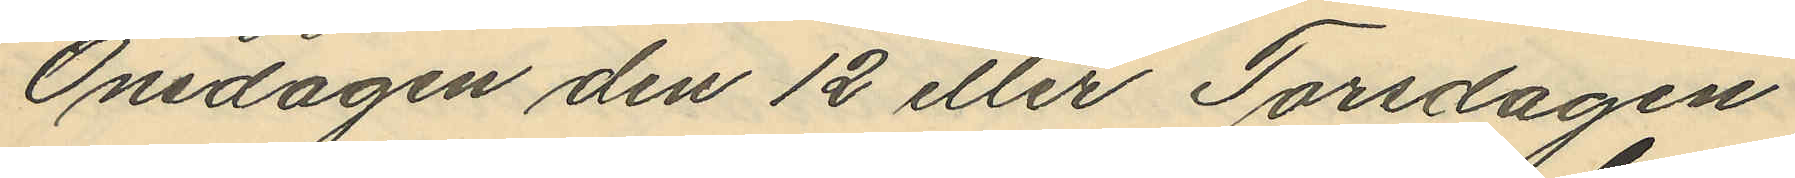Onsdagen den 12 eller Torsdagen
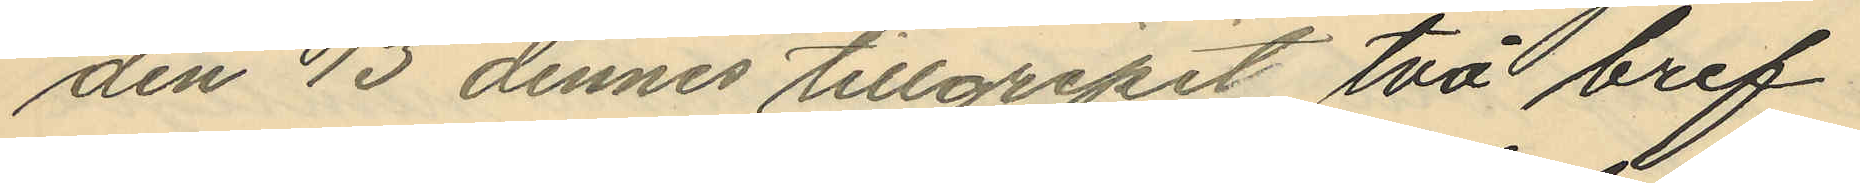den 13 dennes tillgripit två bref
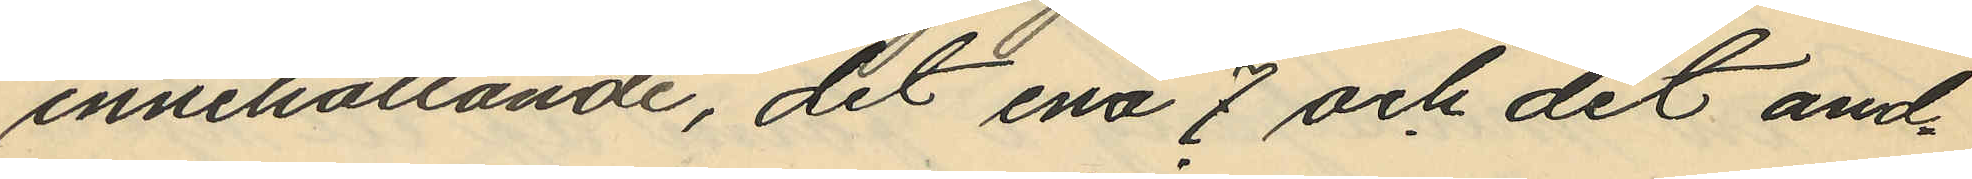innehållande, det ena 7 och det and¬
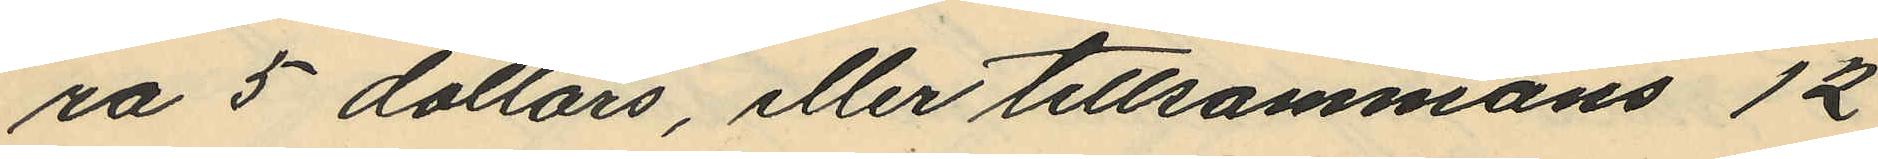ra 5 dollars, eller tillsammans 12
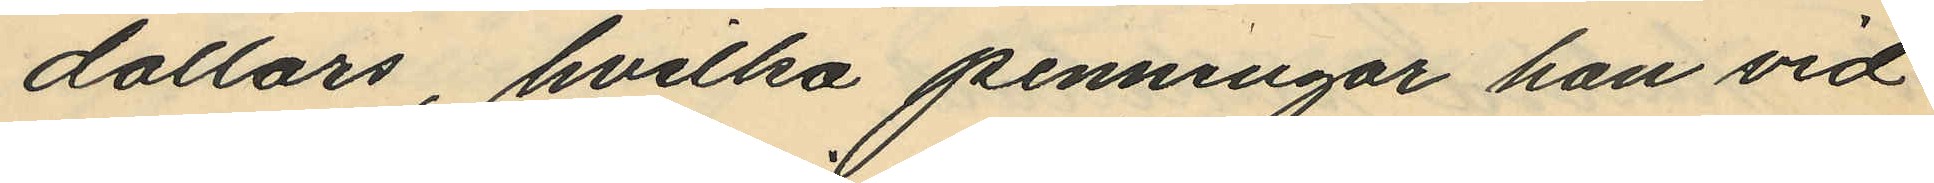dollars, hvilka penningar han vid
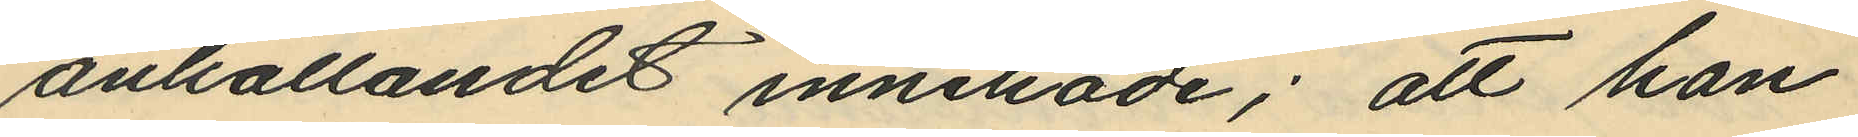anhållandet innehade; att han
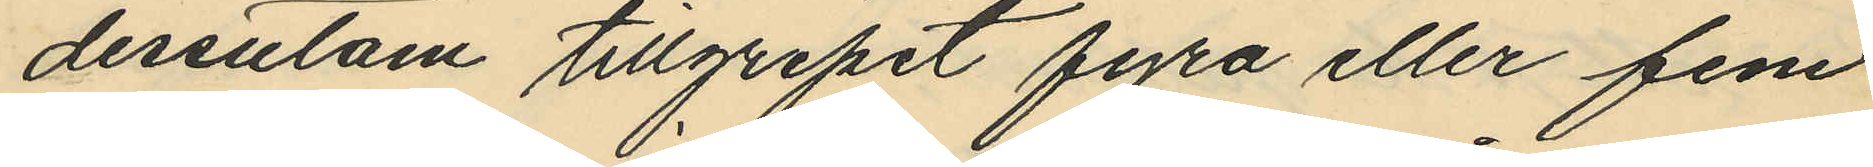dessutom tillgripit fyra eller fem
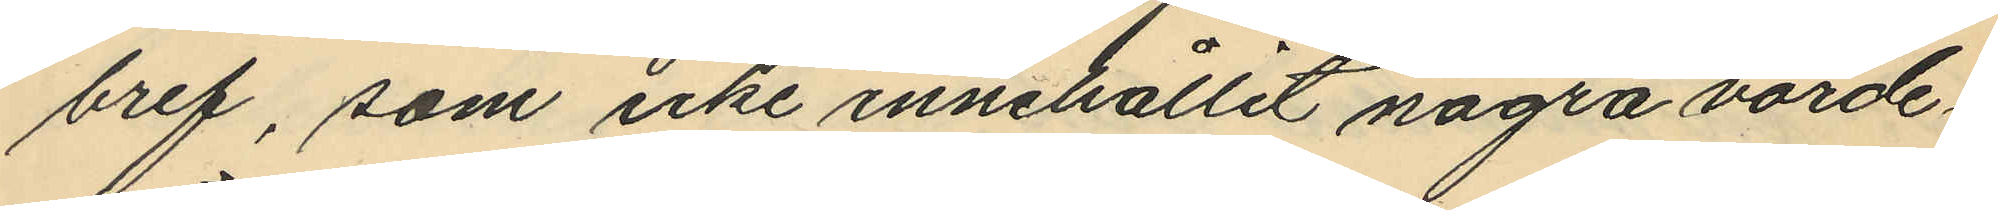bref, som icke innehållit några värde¬
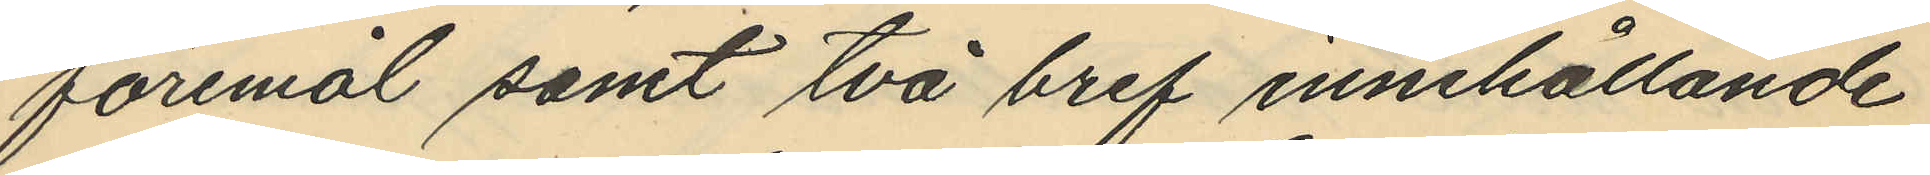föremål samt två bref innehållande
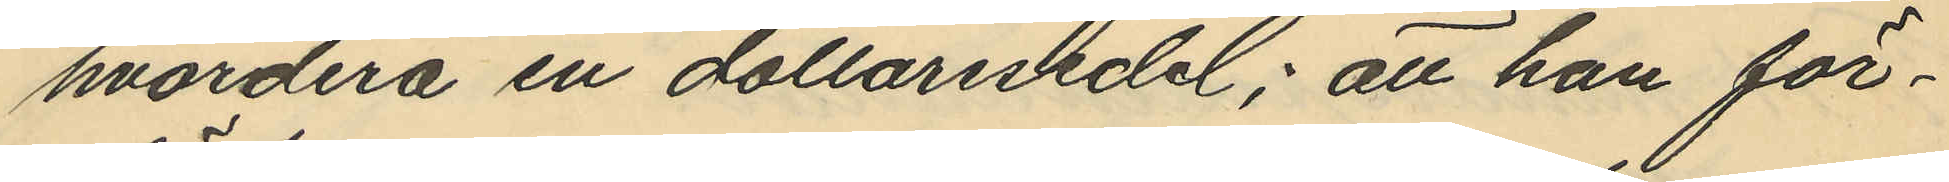hvardera en dollarsedel; att han för¬
